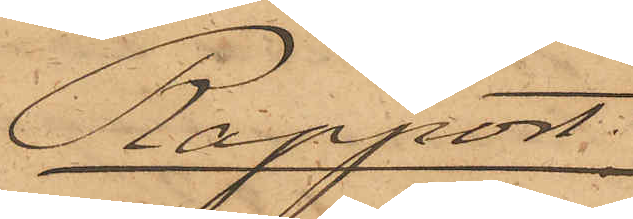Rapport.
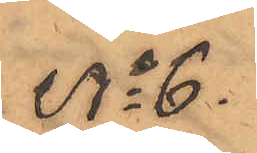No 6.
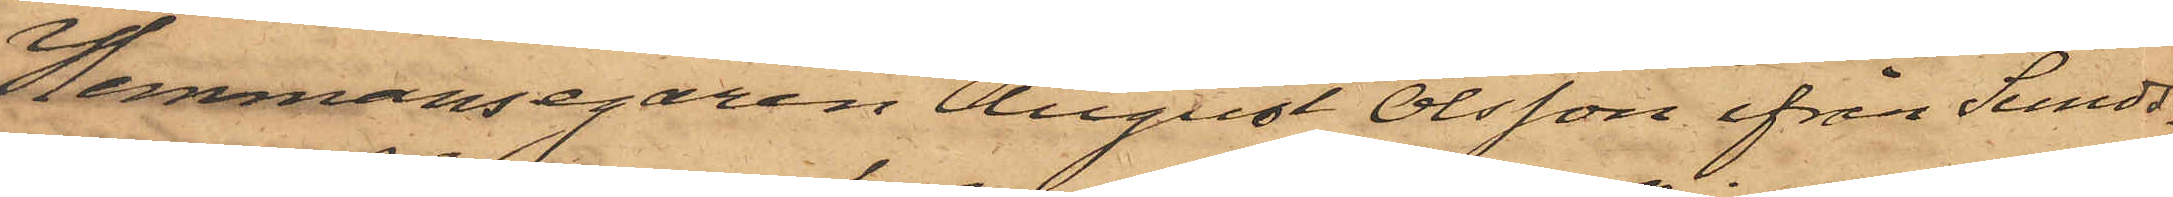Hemmansegaren August Olsson ifrån Sunds¬
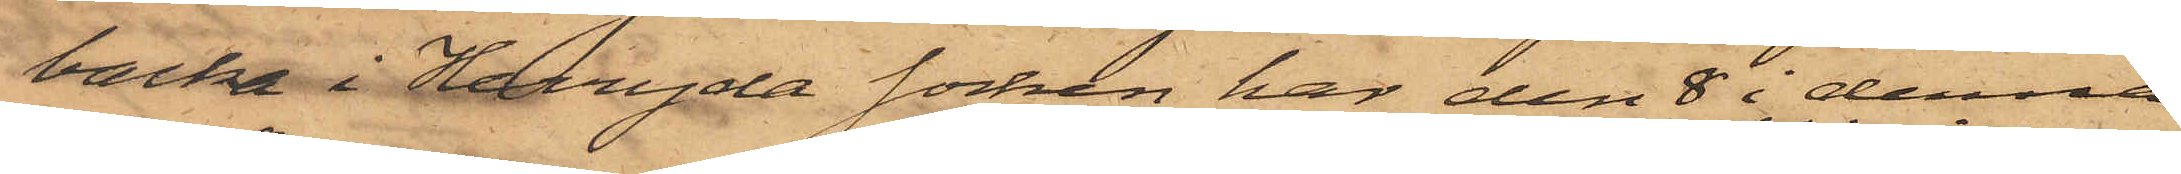backa Herryda Socken har den 8 i denna
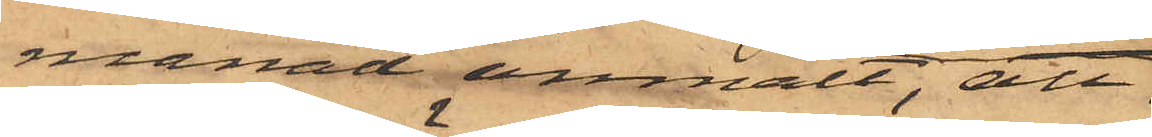månad anmält, att
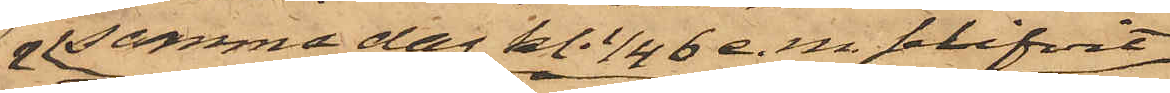samma dag kl. 1/4 6 e.m. blifvit
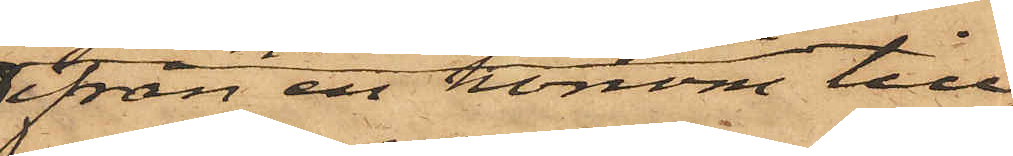ifrån en honom till¬
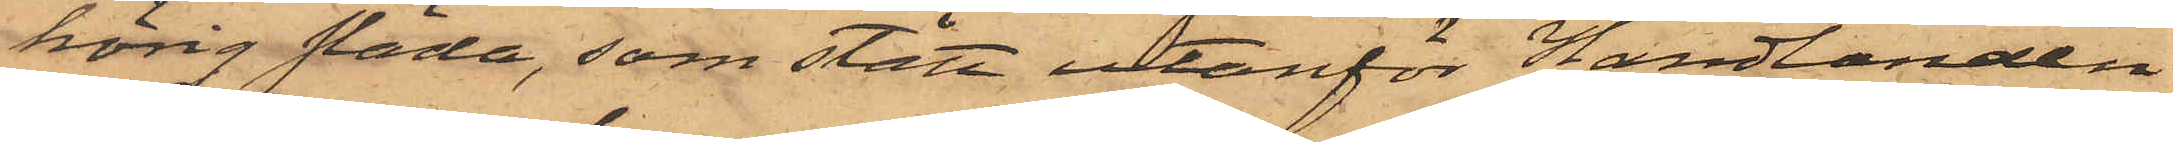hörig släde, som stått utanför Handlanden
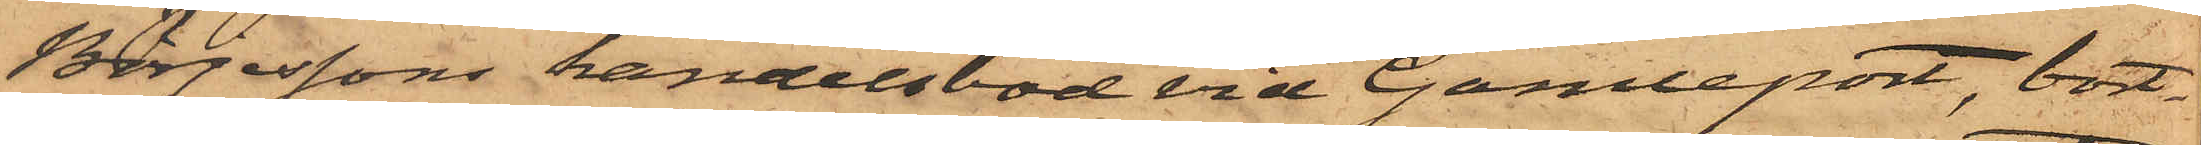Börjessons handelsbod vid Gamleport, bort¬
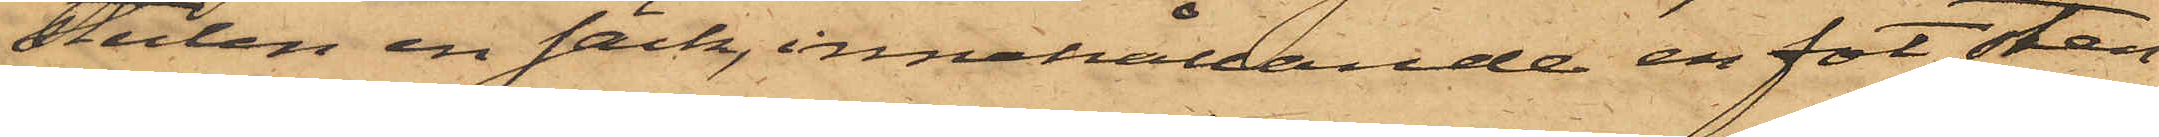stulen en säck, innehållande en fot sten¬
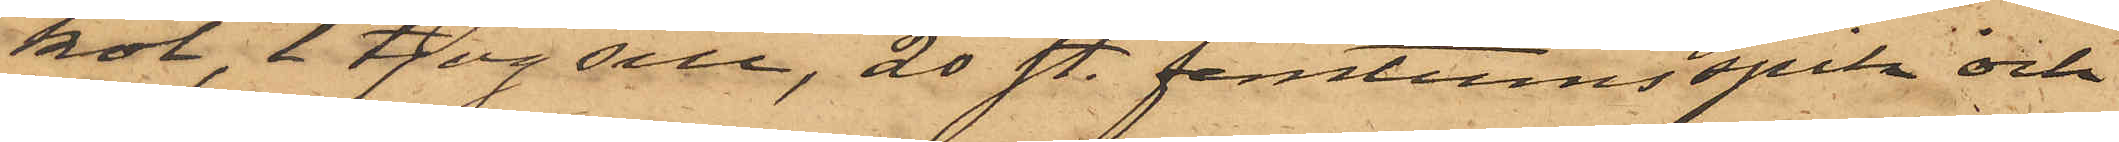kol, 1 tjog sill, 20 st. femtumsspik och
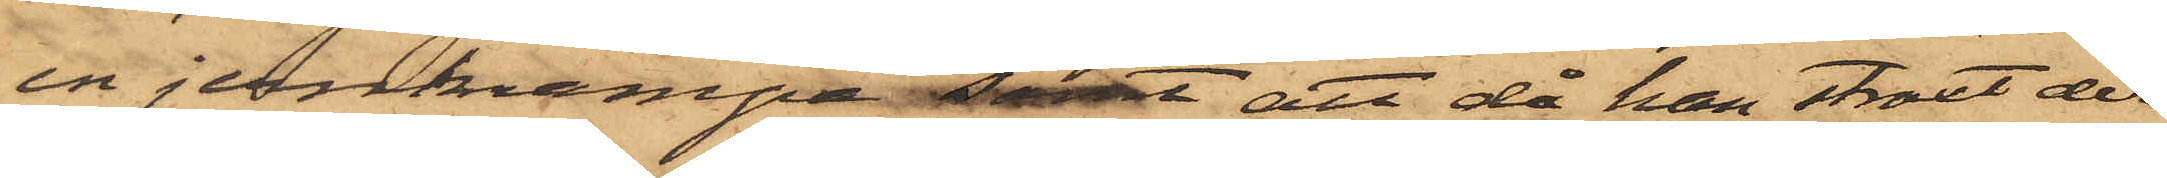en jernkrampa samt att då han straxt der¬
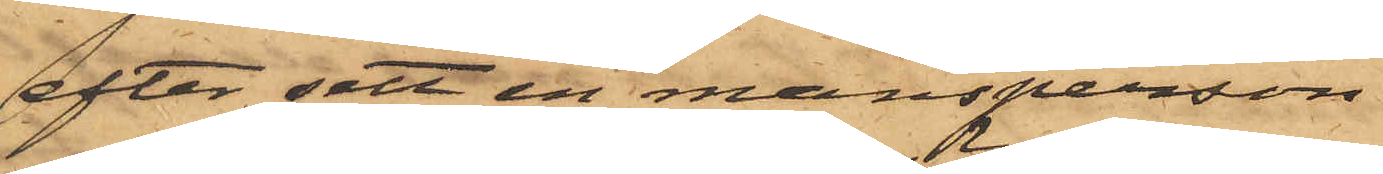efter sett en mansperson
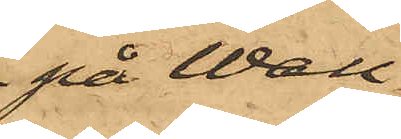på Wall¬
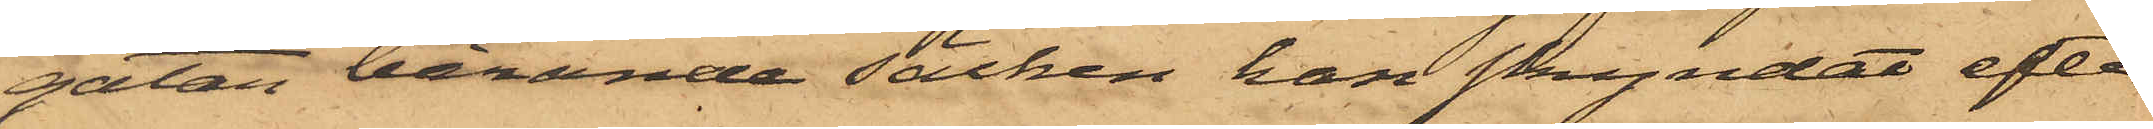gatan bärande säcken han skyndat efter
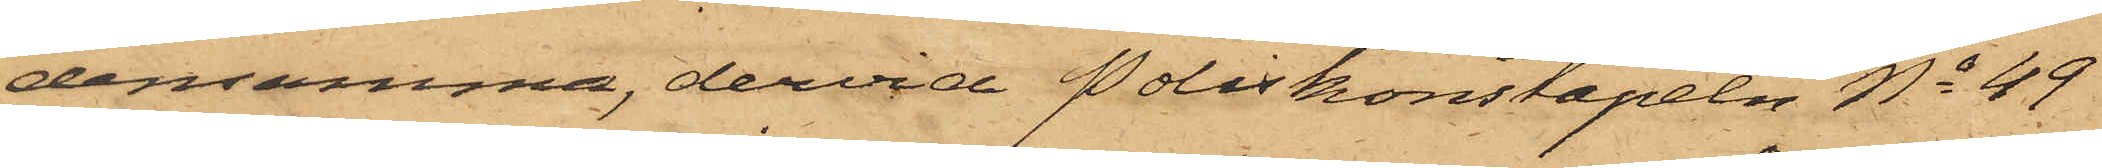densamma, dervid Poliskonstapeln No 49
